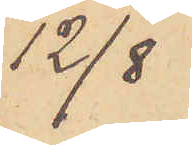12/8
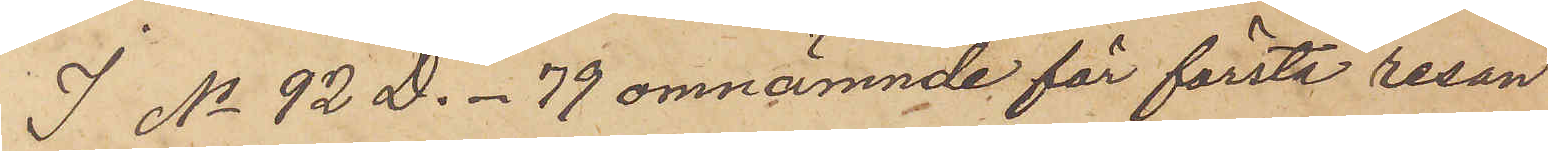I No 92 D. - 79 omnämnde för första resan
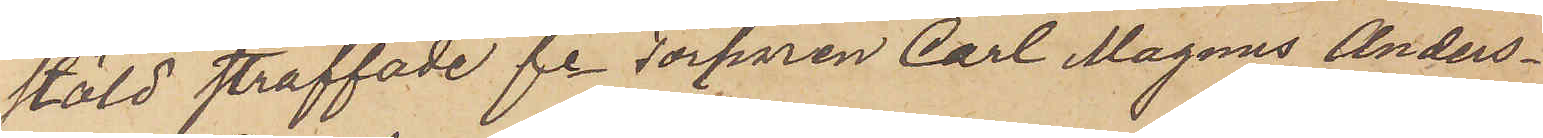stöld straffade fe Torparen Carl Magnus Anders¬
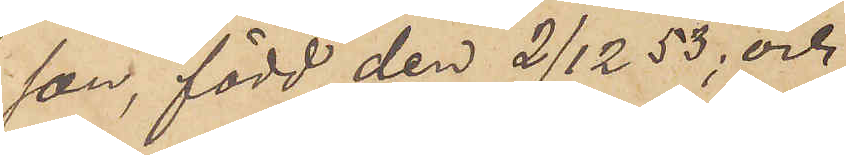son, född den 2/12 53; och
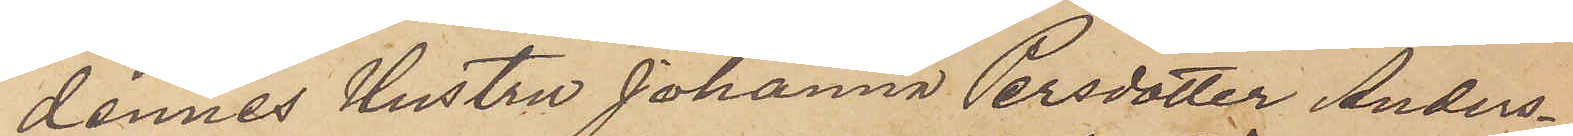dennes hustru Johanna Persdotter Anders¬
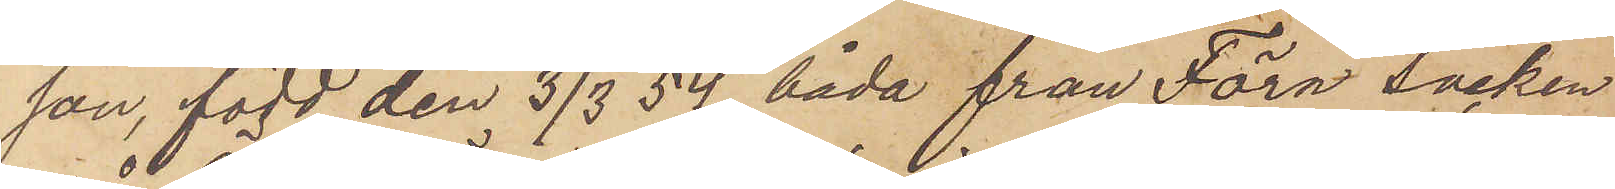son, född den 3/3 54, båda från Föra socken
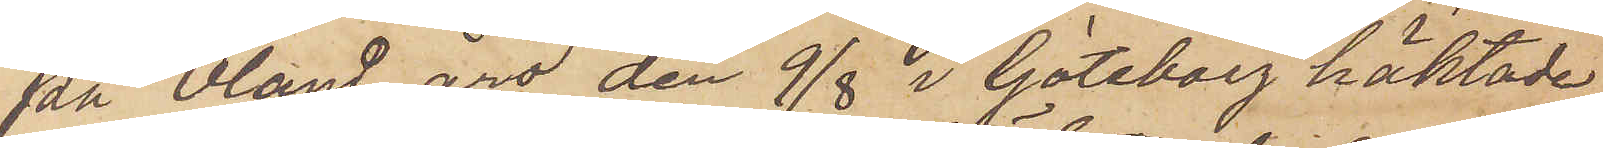på Öland äro den 9/8 i Göteborg häktade,
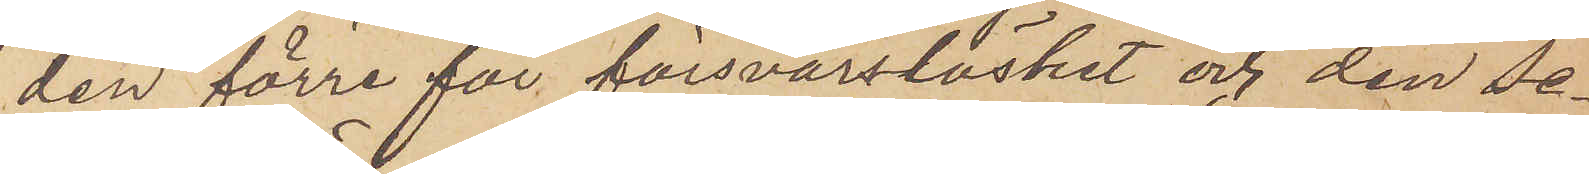den förre för försvarslöshet och den se¬
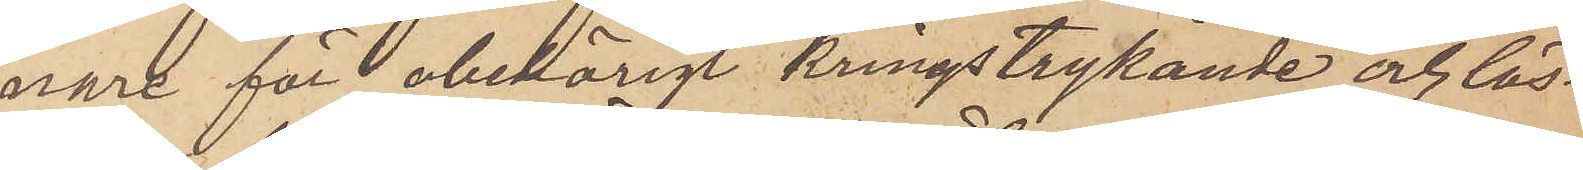nare för obehörigt kringstrykande och lös¬
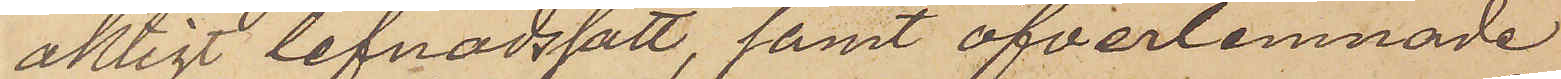aktigt lefnadssätt, samt öfverlemnade
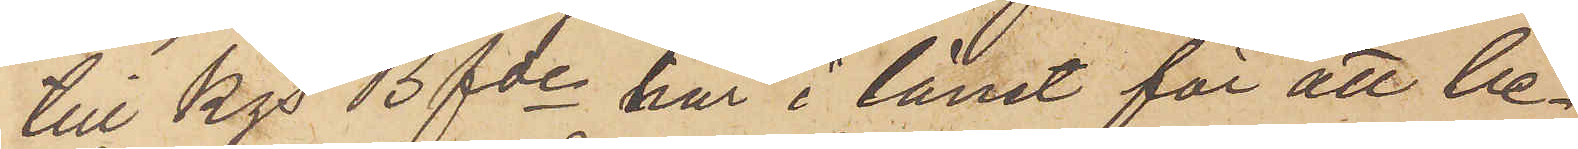till Kgs Bfde här i länet för att be¬
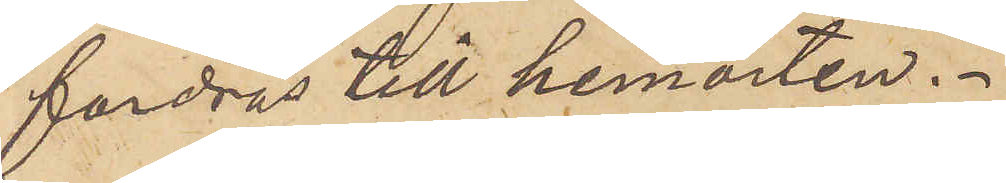fordras till hemorten.
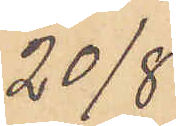20/8
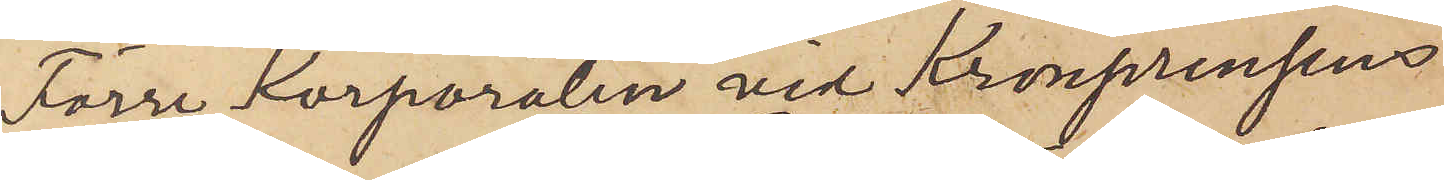Förre Korporalen vid Kronprinsens
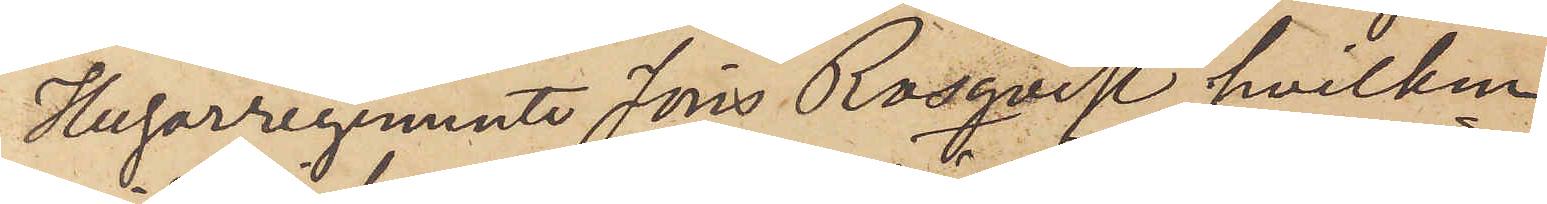Husarregemente Jöns Rosqvist, hvilken
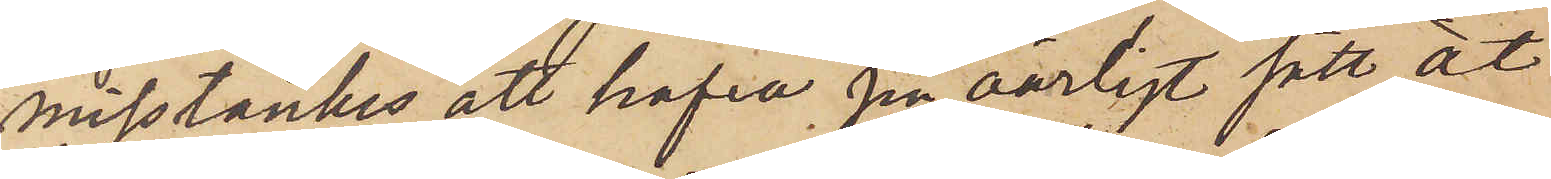misstänkes att hafva på oärligt sätt åt
